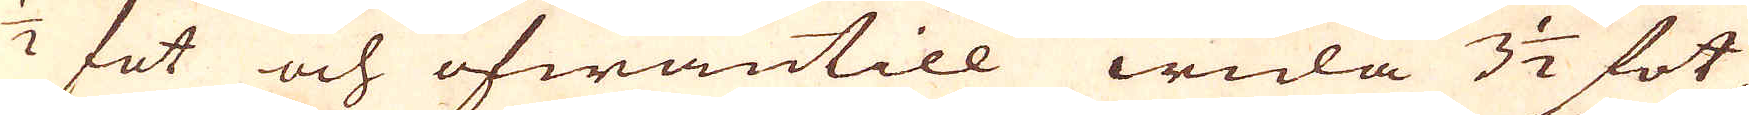1/2 fot och ofwantill wida 3 1/2 fot,
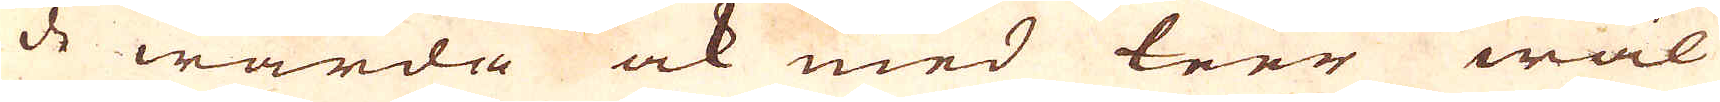de warda ock med leer wäl
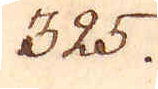325.
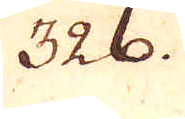326.
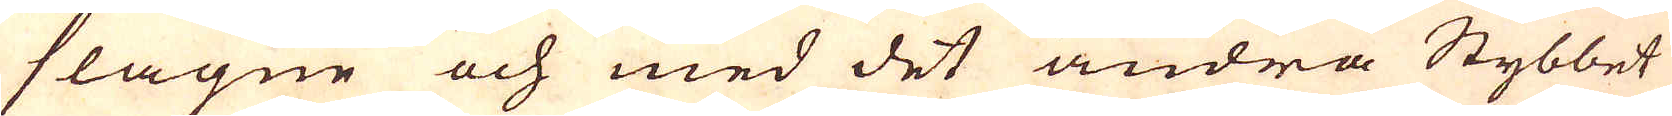slagne och med det andra Stybbet
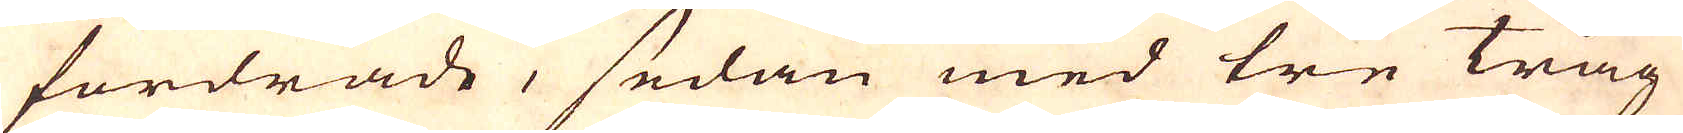fordrade, sedan med tre tråg
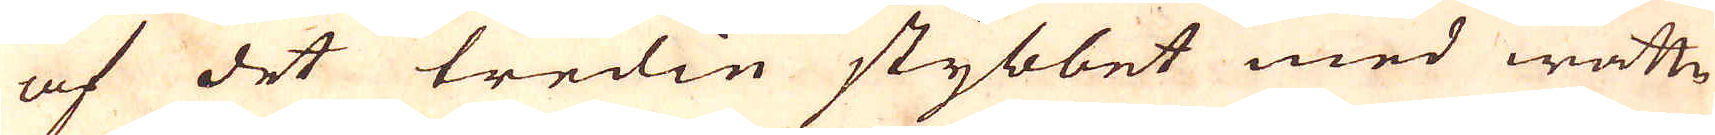af det tredin stybbet med wattn
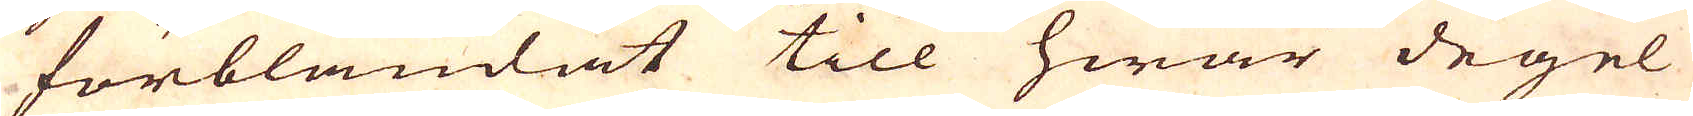förblandat till hwar degel
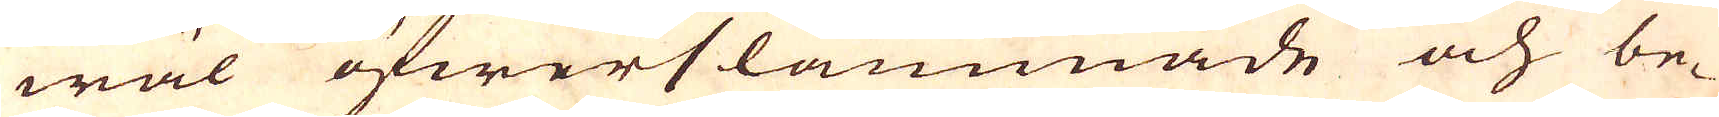wäl öfwerslammnade och be-
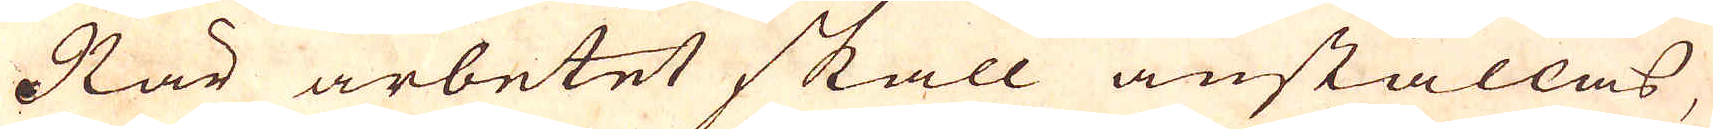När arbetet skall anställas,
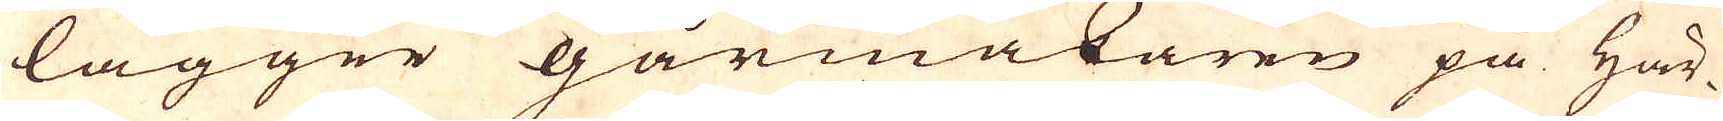lägger gårmäkaren på Här-
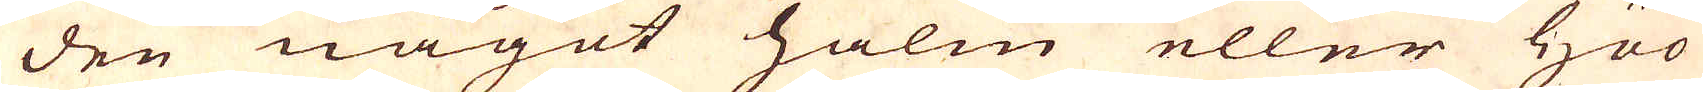den något halm eller Höö
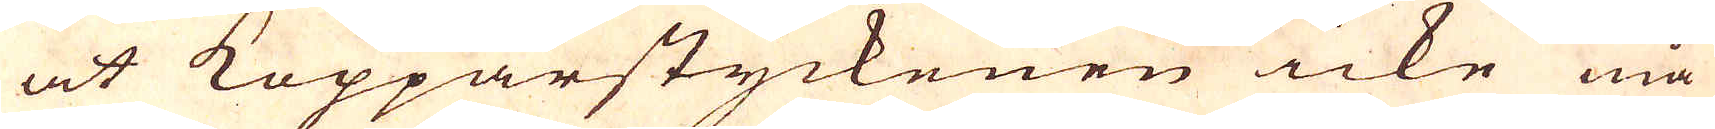at Kopparstyckenen icke må
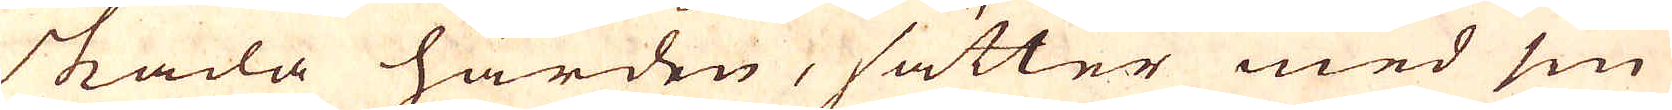skada härden, sätter med sin
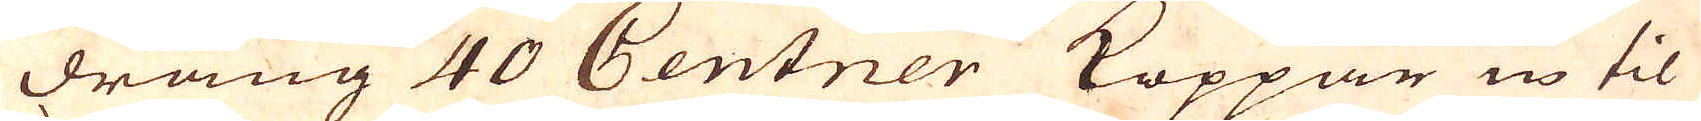dräng 40 Centner Koppar in til
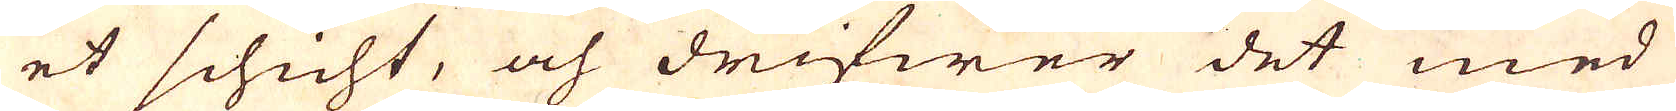et schicht, och drifwer det med
